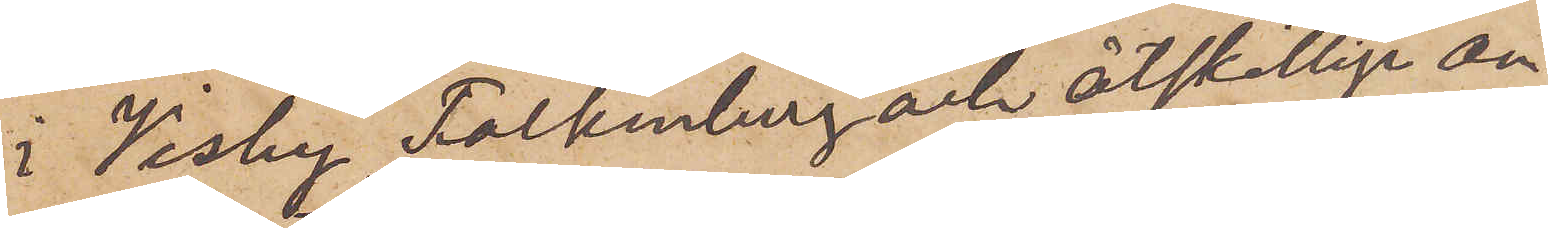i Visby, Falkenberg och åtskillige an¬
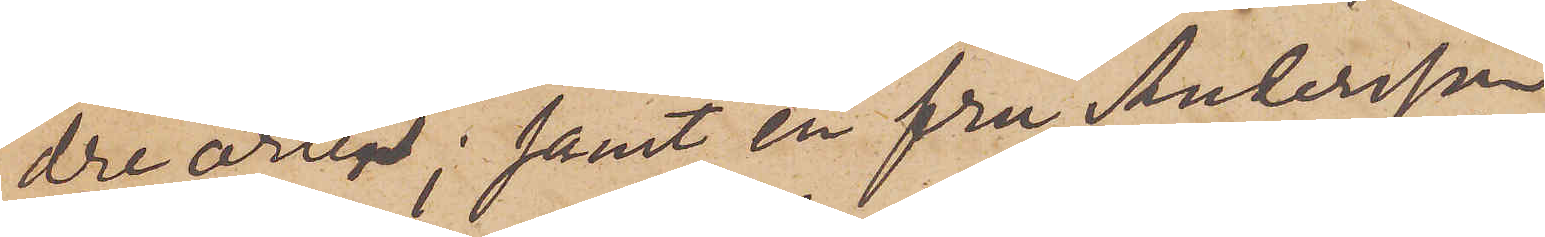dre orter; samt en fru Andersson
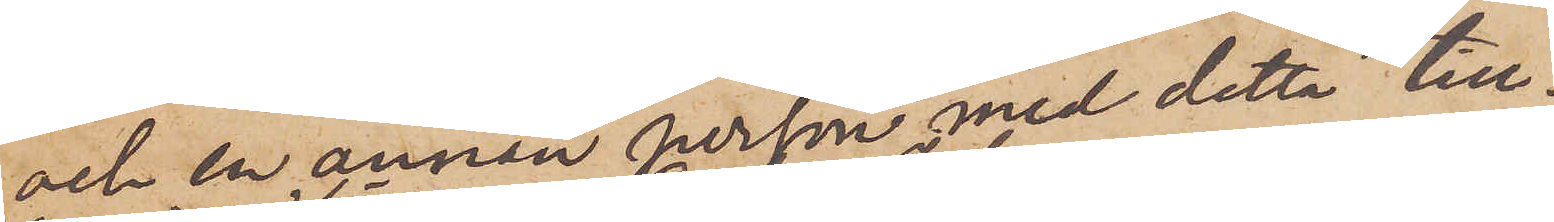och en annan person med detta till¬
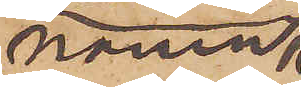namn;
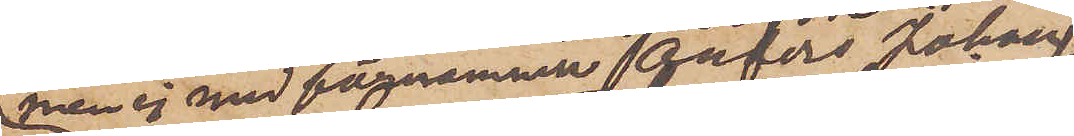men ej med förnamnen Anders Johan
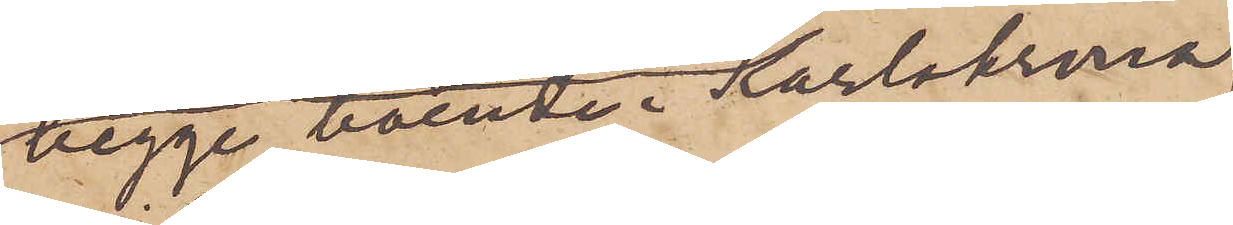begge boende i Karlskrona,
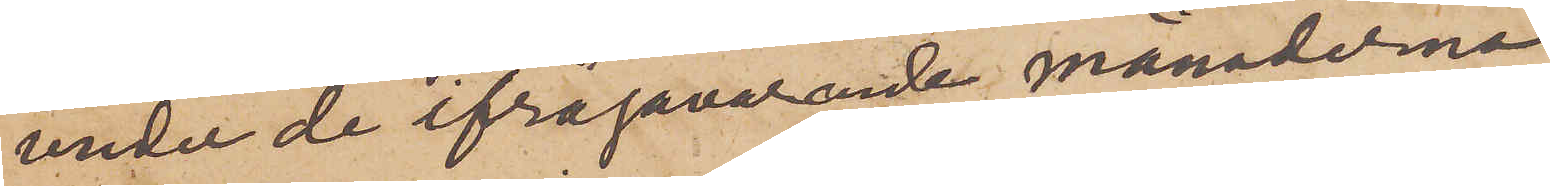under de ifrågavarande månaderna
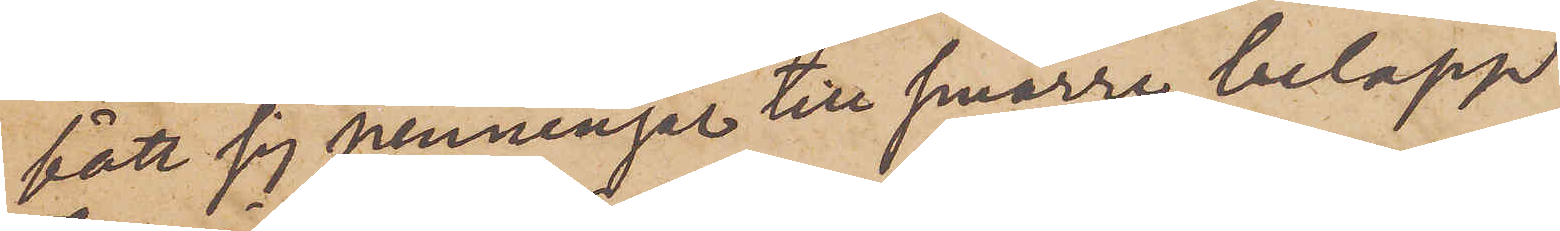fått sig penningar till smärre belopp
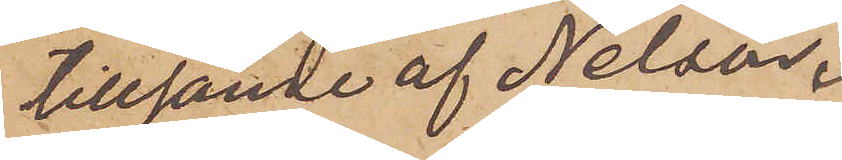tillsände af Nelson.
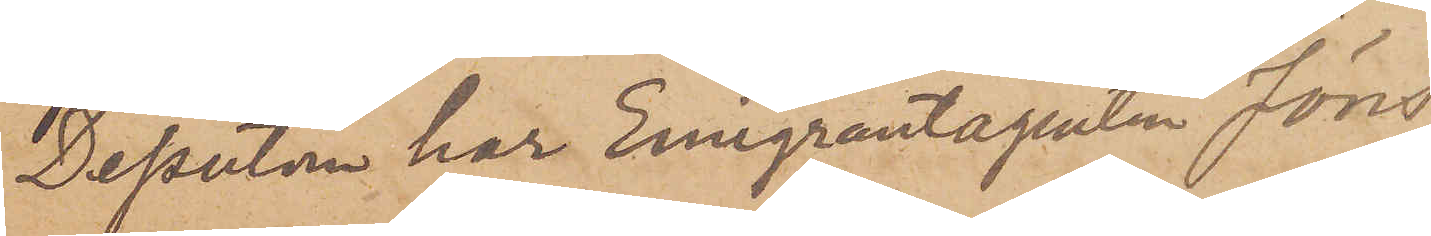Dessutom har Emigrantagenten Jöns
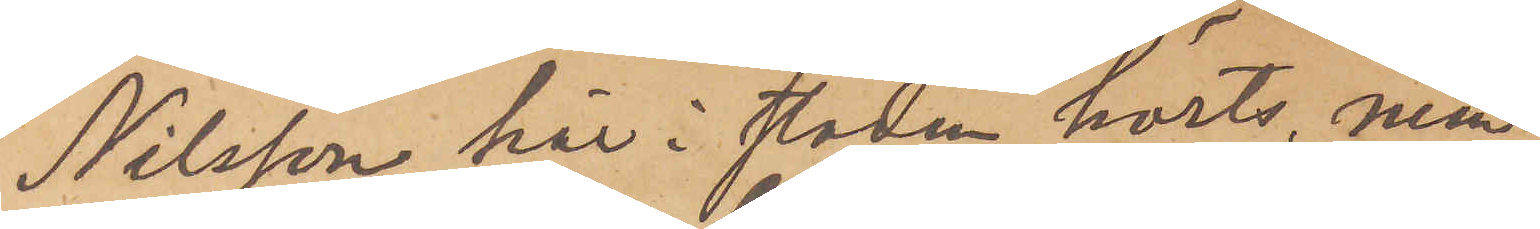Nilsson här i staden hörts, men
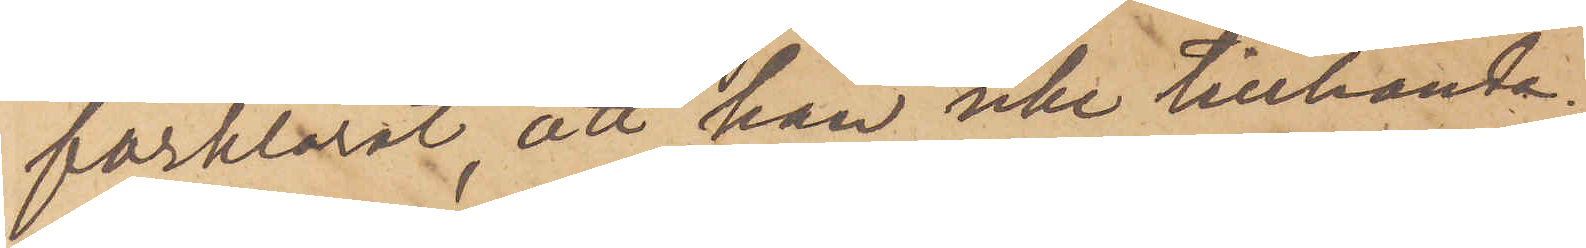förklarat, att han icke tillhanda¬
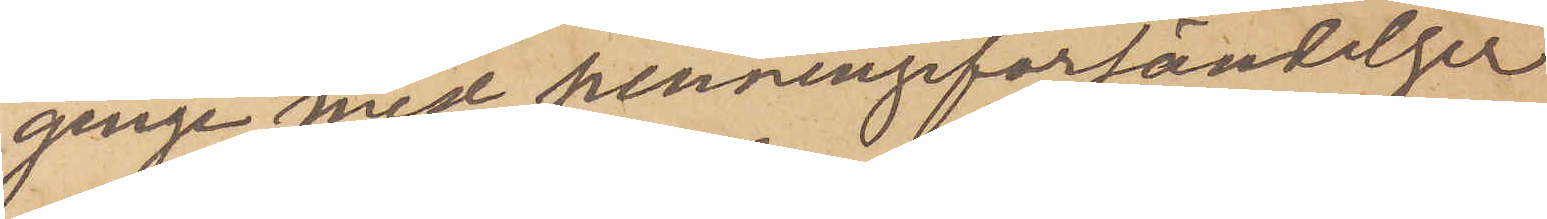ginge med penningsförsändelser
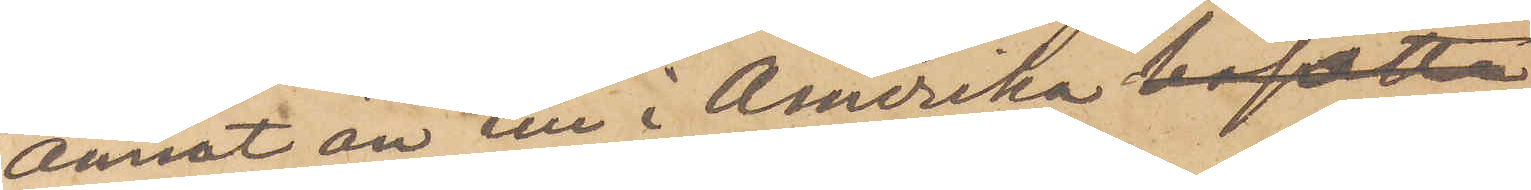annat än till i Amerika 
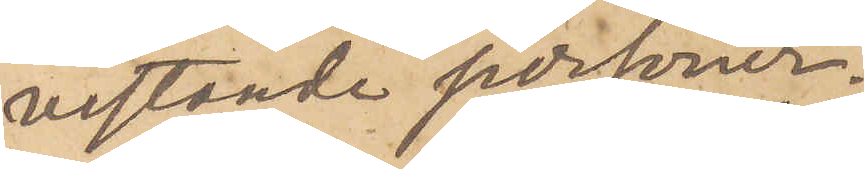vistande personer.
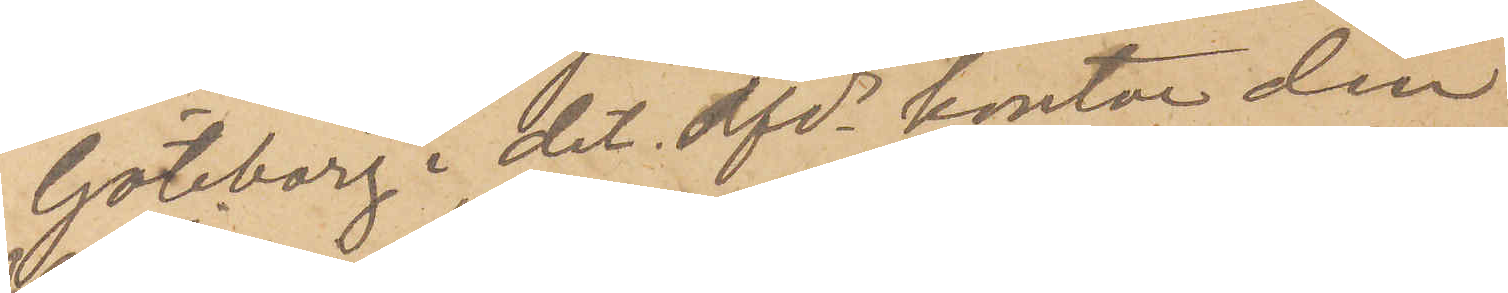Göteborg i det. afdes kontor den
